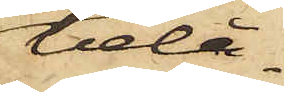belå¬
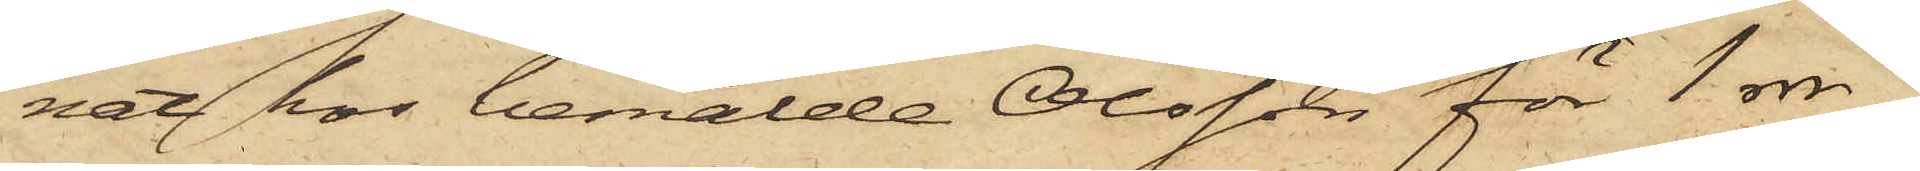nat hos bemälde Olsson för 1 rdr
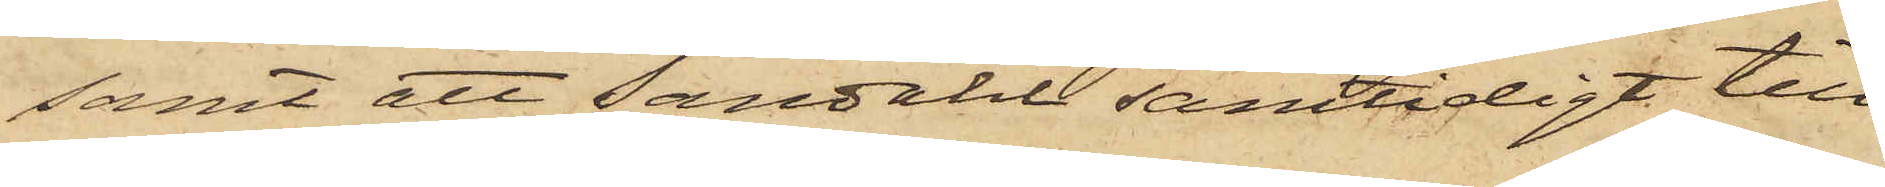samt att Sandahl samtidigt till
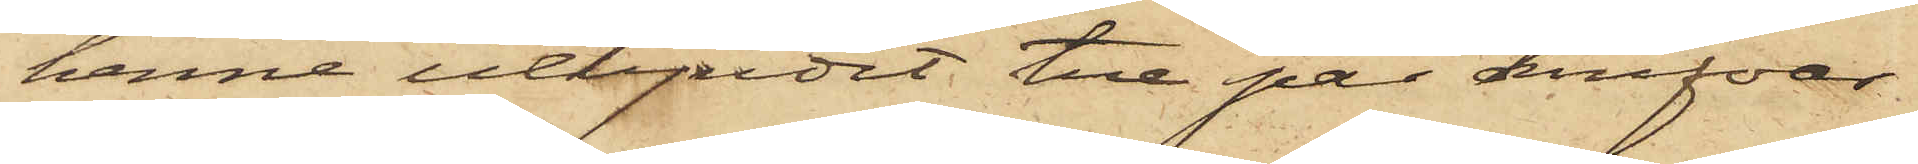henne utbjudit tre par knifvar
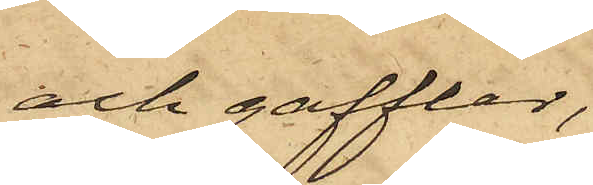och gafflar,
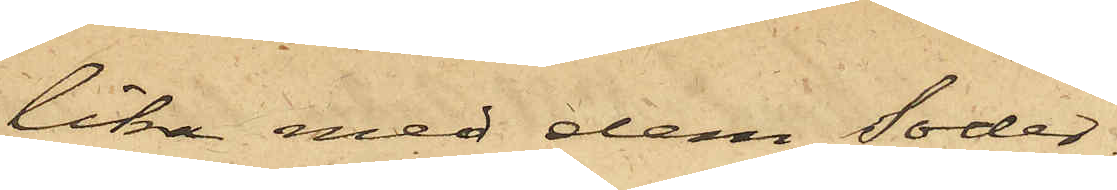lika med dem Söder¬
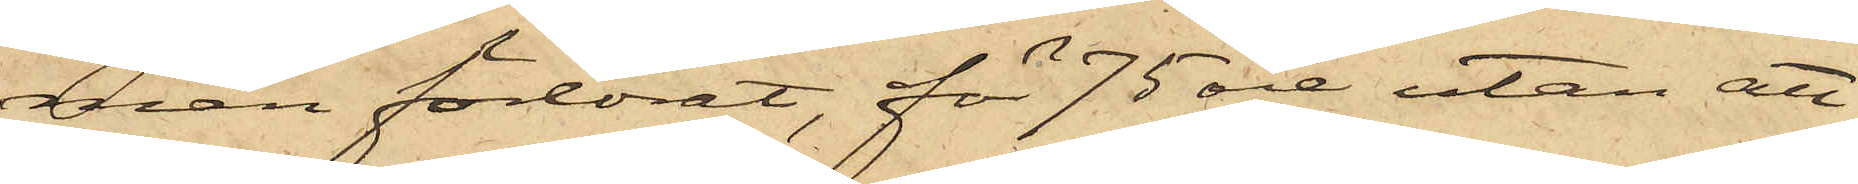man förlorat, för 75 öre utan att
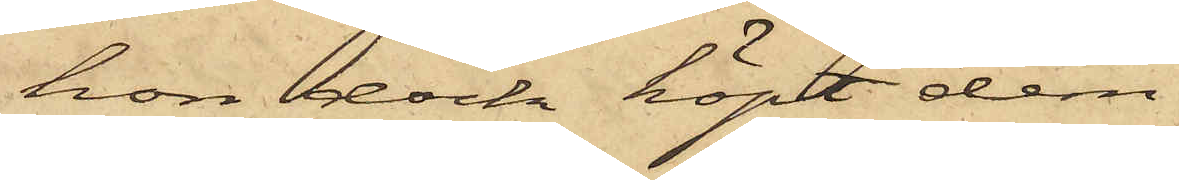hon dock köpt dem.
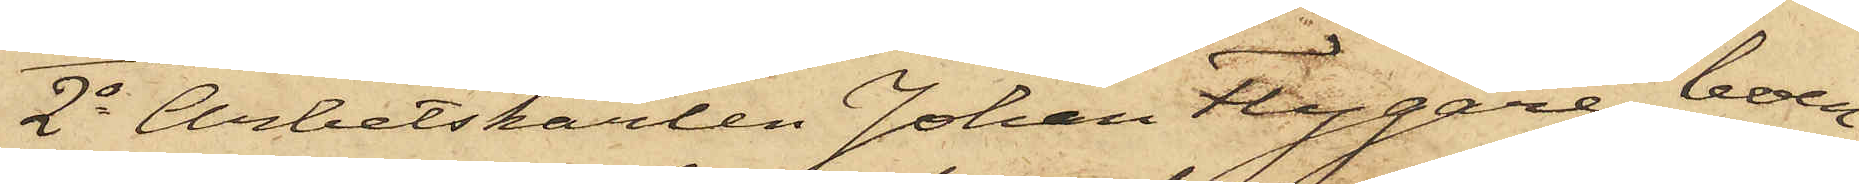2o Arbetskarlen Johan Flygare, boen¬
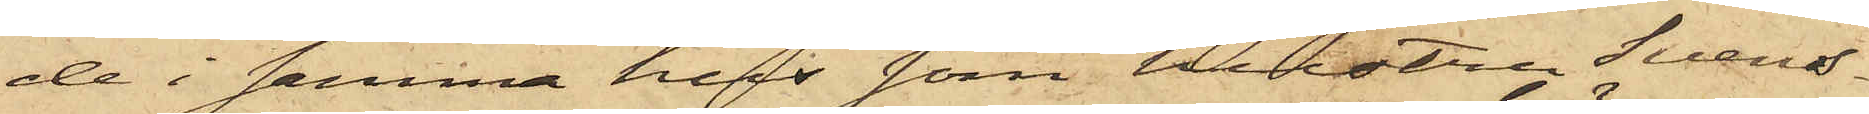de i samma hus som hustru Svens¬
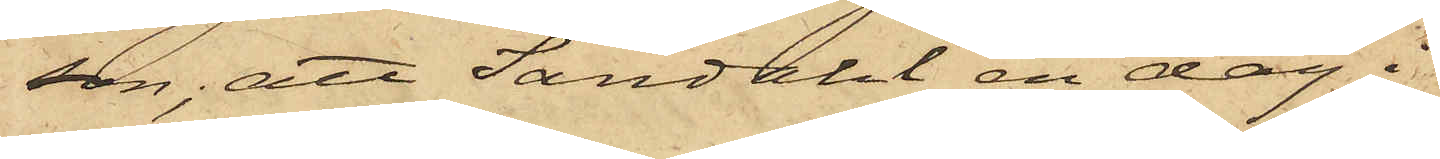son; att Sandahl en dag i
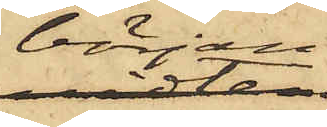början
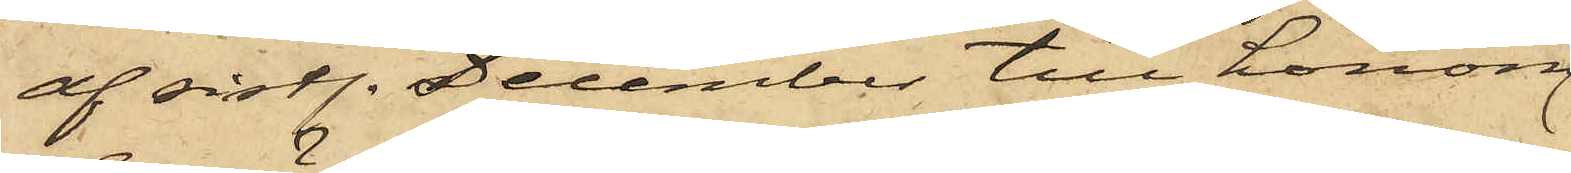af sistl. December till honom
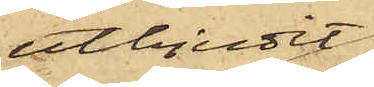utbjudit
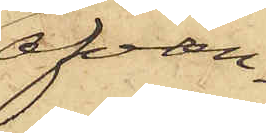ofvan¬
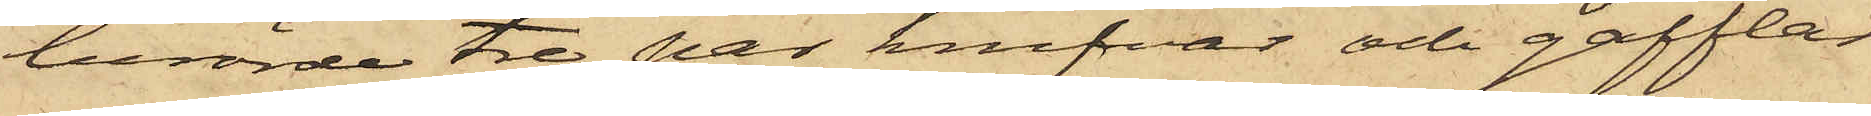berörde tre par knifvar och gafflar
